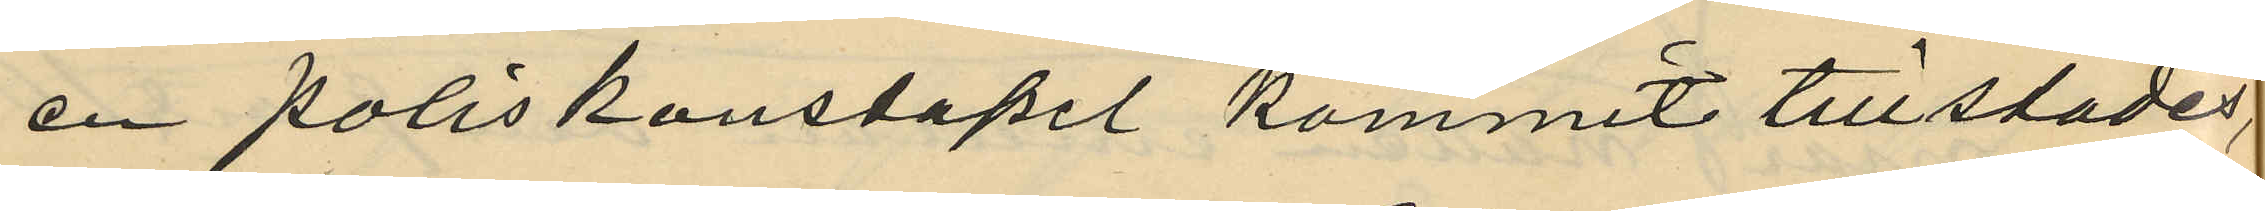en poliskonstapel kommit tillstädes,
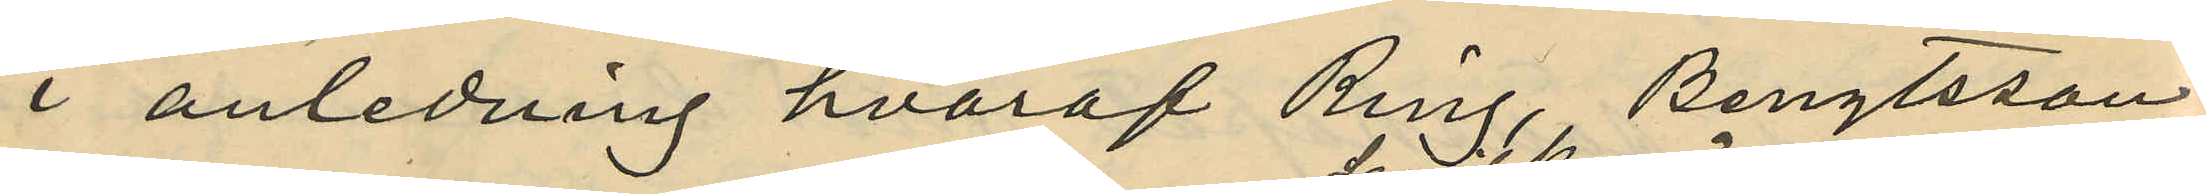i anledning hvaraf Ring, Bengtsson,
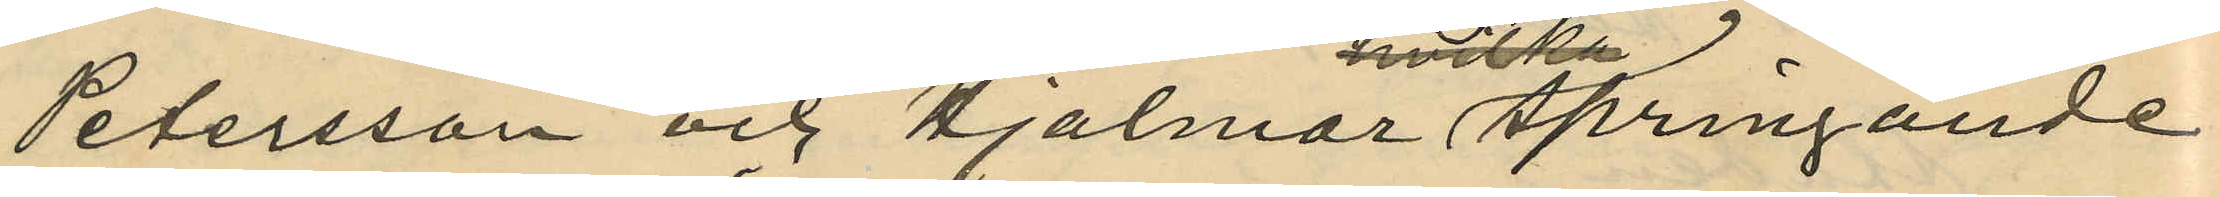Petersson och Hjalmar springande
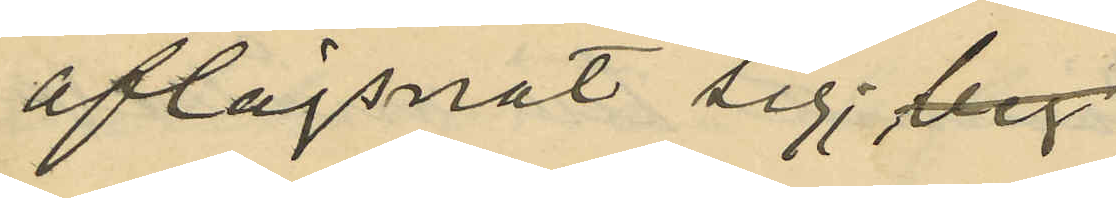aflägsnat sig;
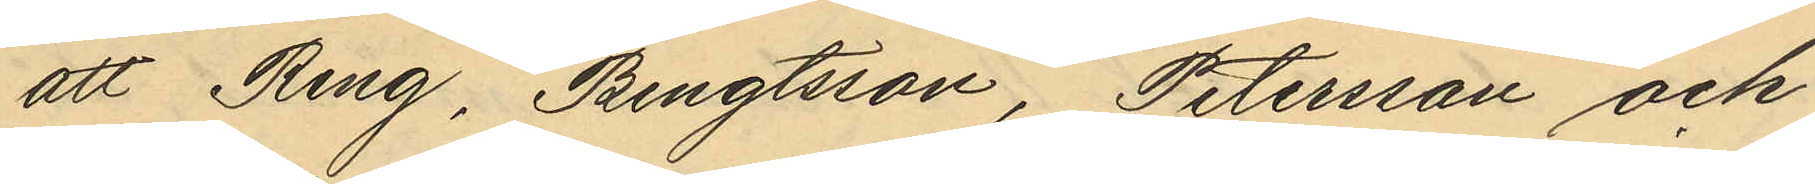att Ring, Bengtsson, Petersson och
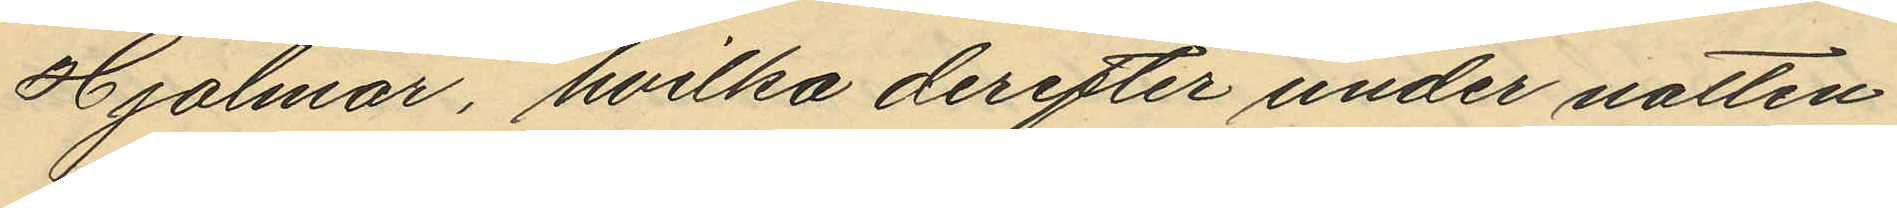Hjalmar, hvilka derefter under natten
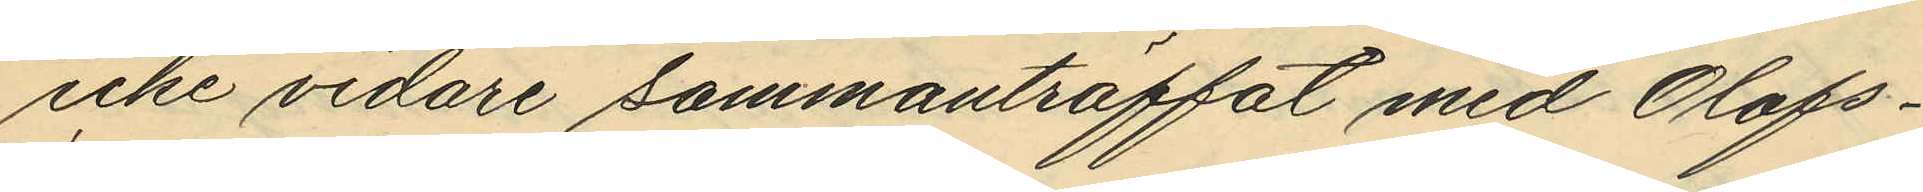icke vidare sammanträffat med Olofs¬
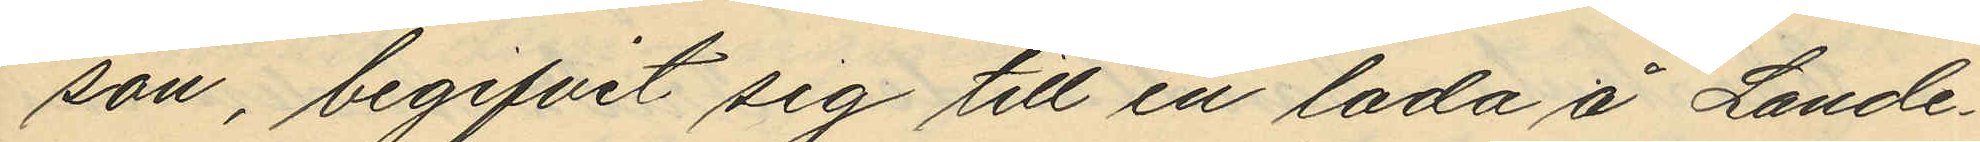son, begifvit sig till en lada å Lande¬
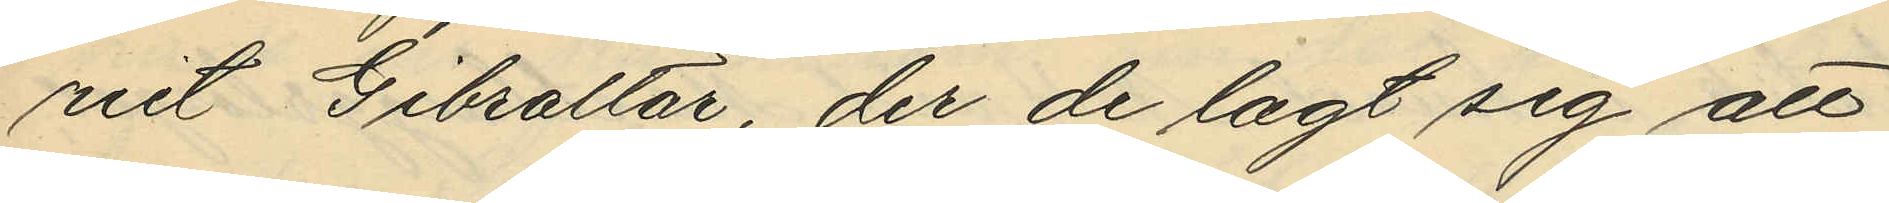riet Gibraltar, der de lagt sig att
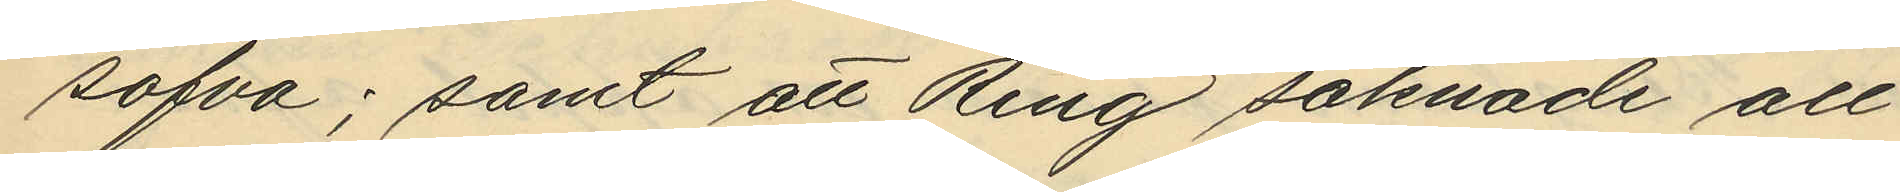sofva; samt att Ring saknade all
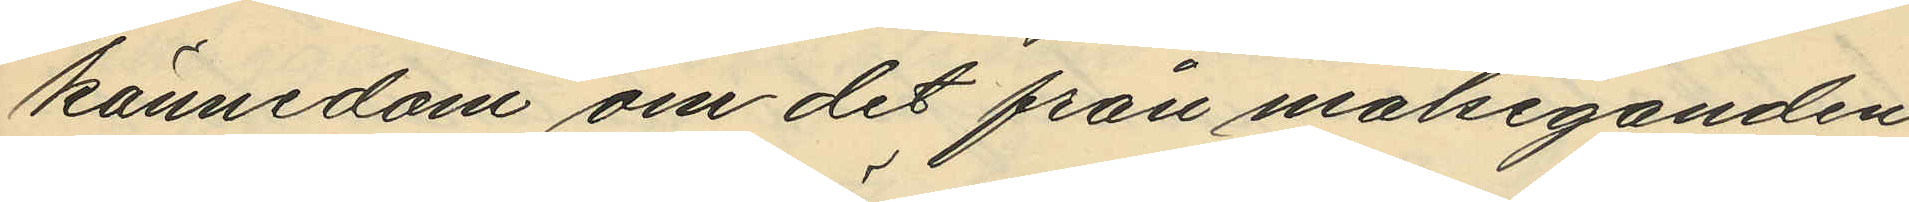kännedom om det från målseganden
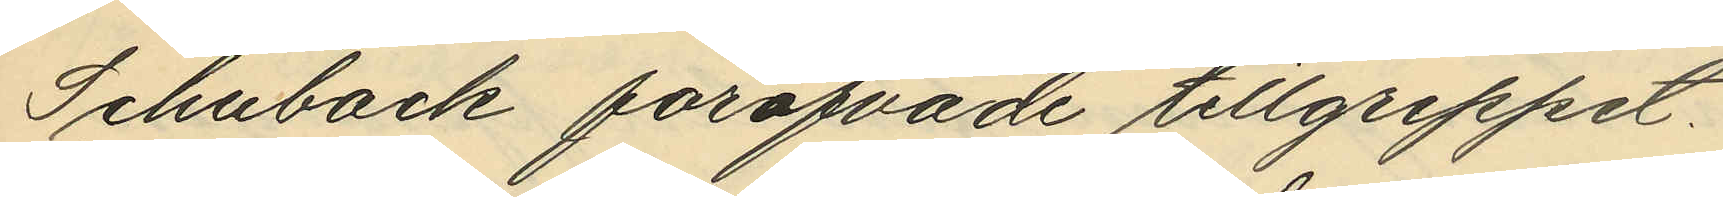Schuback föröfvade tillgreppet.
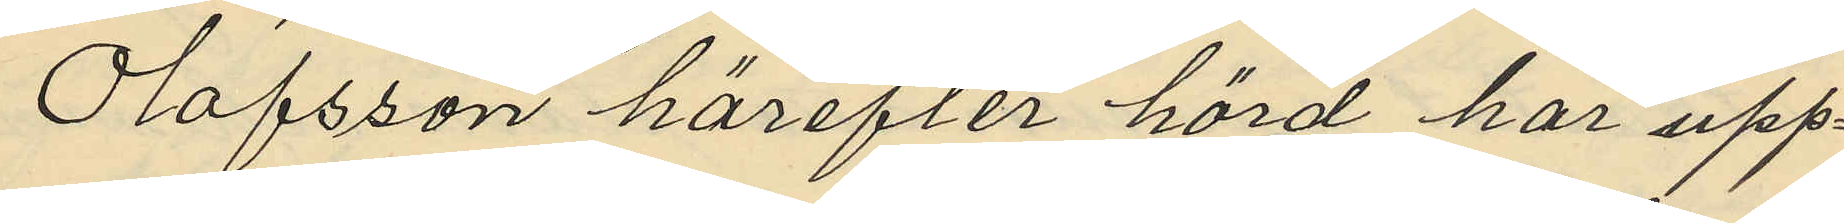Olofsson härefter hörd har upp¬
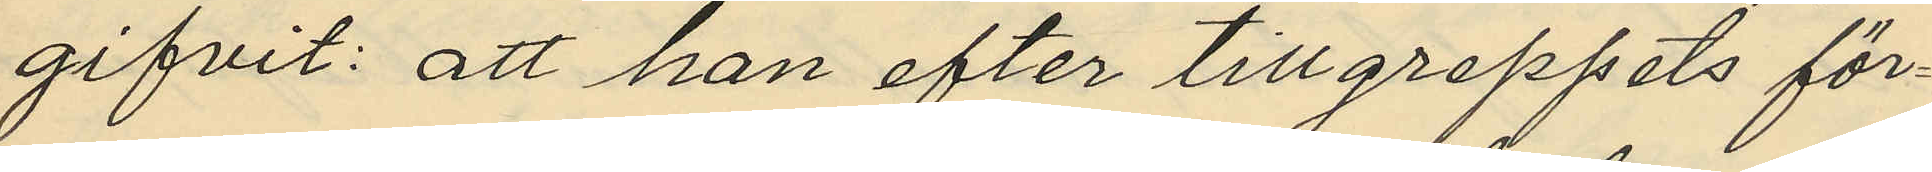gifvit: att han efter tillgreppets för¬
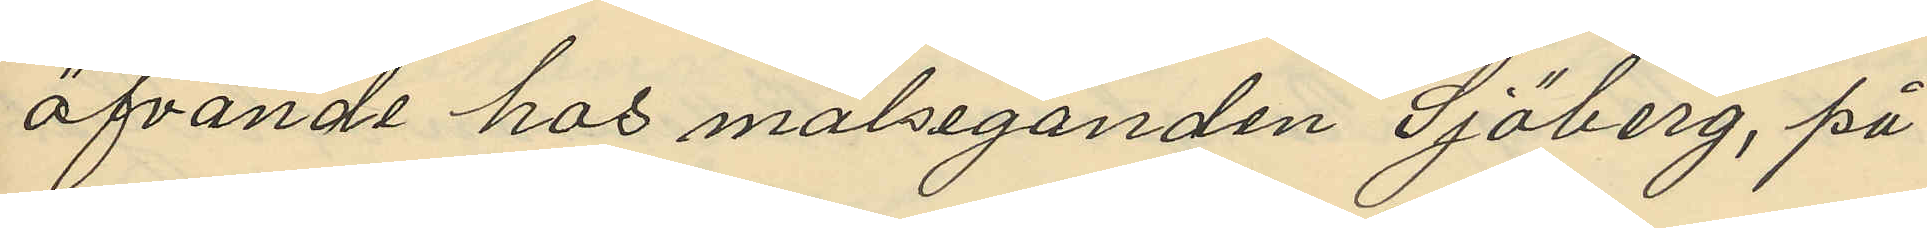öfvande hos målseganden Sjöberg, på
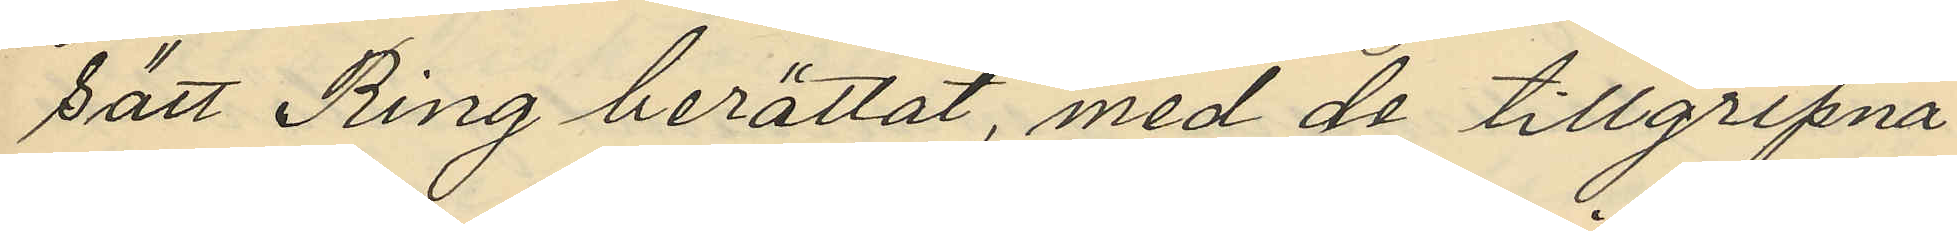sätt Ring berättat, med de tillgripna
